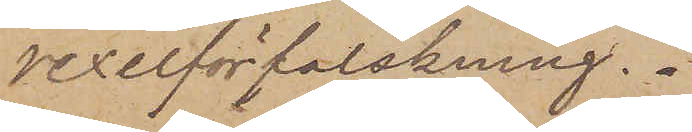vexelförfalskning.
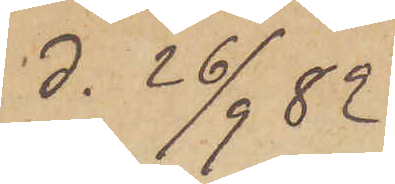d. 26/9  82
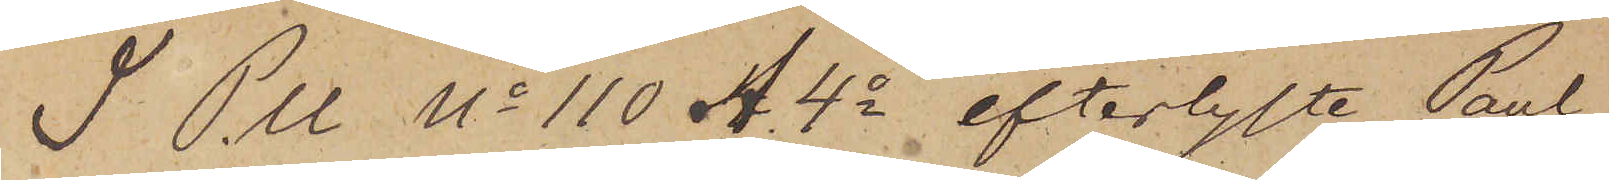I P.U. No 110 A. 4o efterlyste Paul
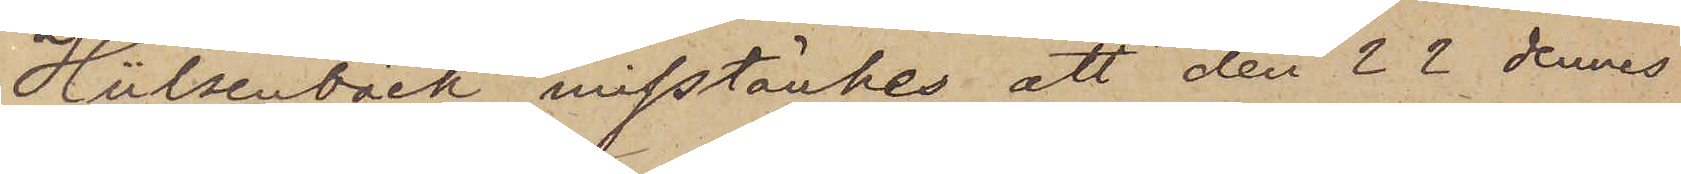Hülsenbäck misstänkes att den 22 dennes
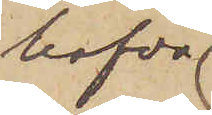hafva
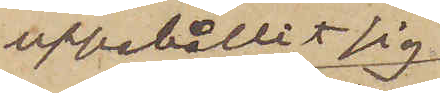uppehållit sig
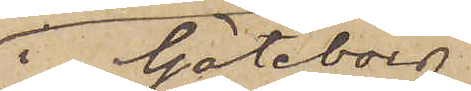i Göteborg
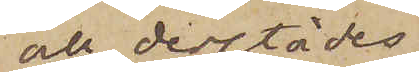och derstädes
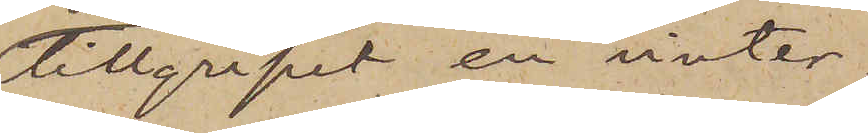tillgripit en vinter¬
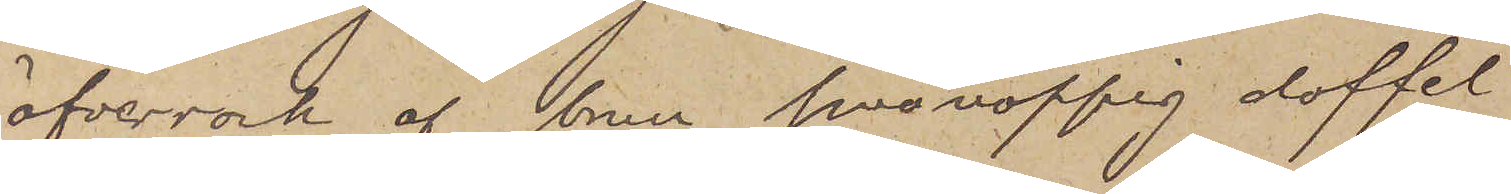öfverrock af brun smånoppig doffel
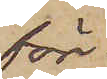för¬
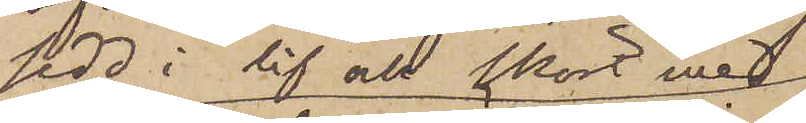sedd i lif och skört med
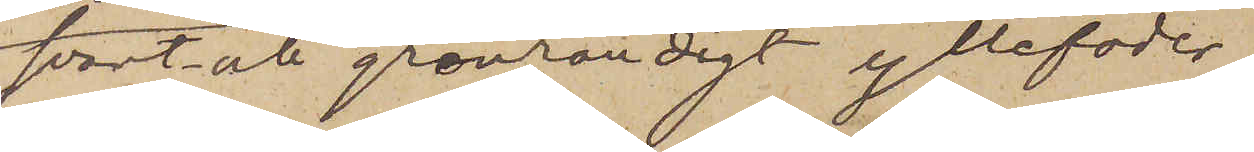svart- och grönrandigt yllefoder
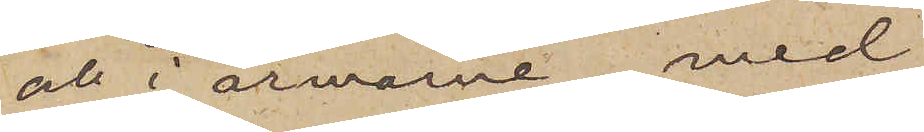och i ärmarne med
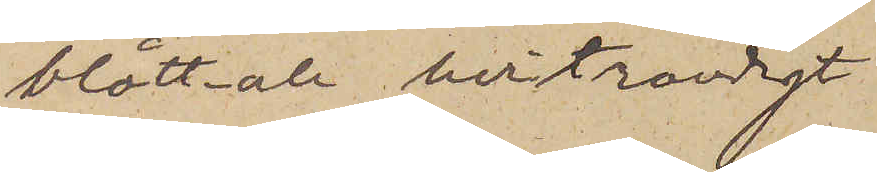blått- och hvitrandigt
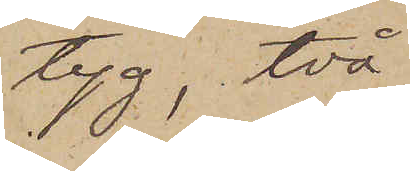tyg, två
